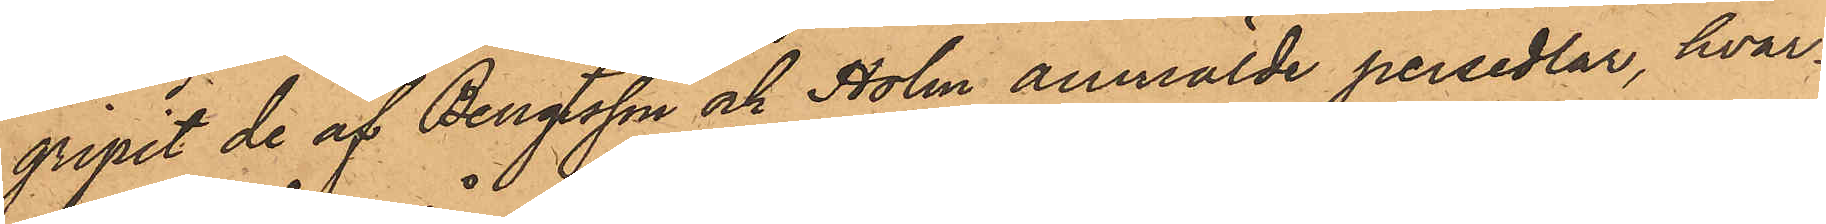gripit de af Bengtsson och Holm anmälde persedlar, hvar¬
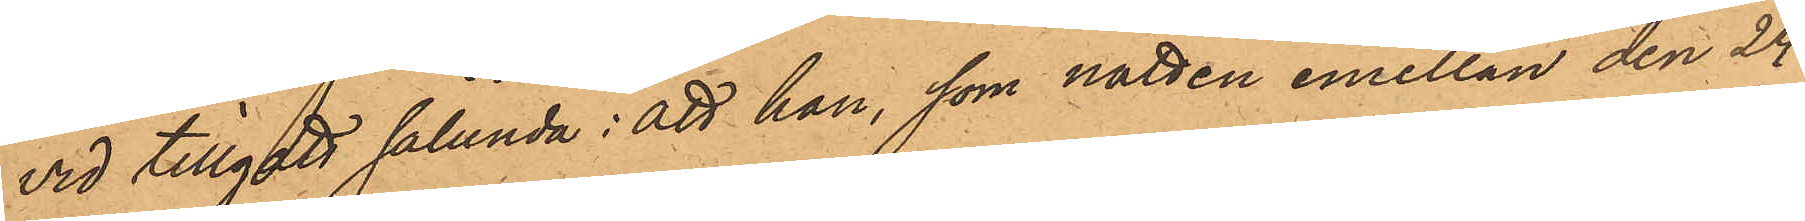vid tillgått sålunda: att han, som natten emellan den 24
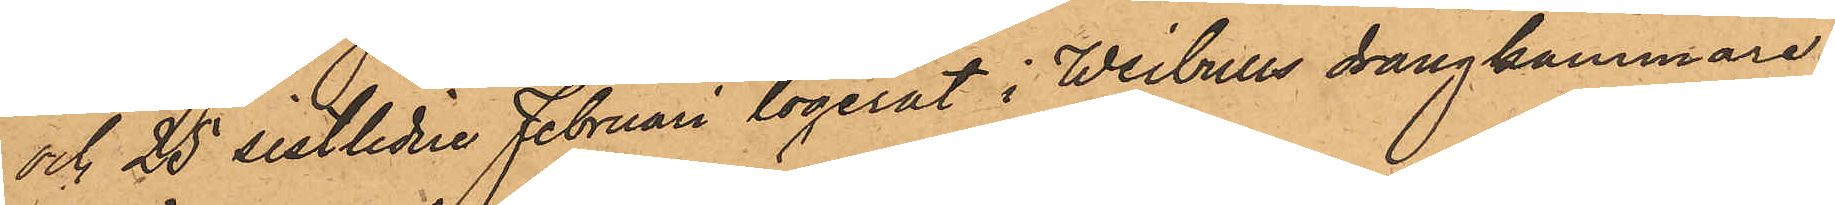och 25 sistlidne Februari logerat i Weibulls drängkammare
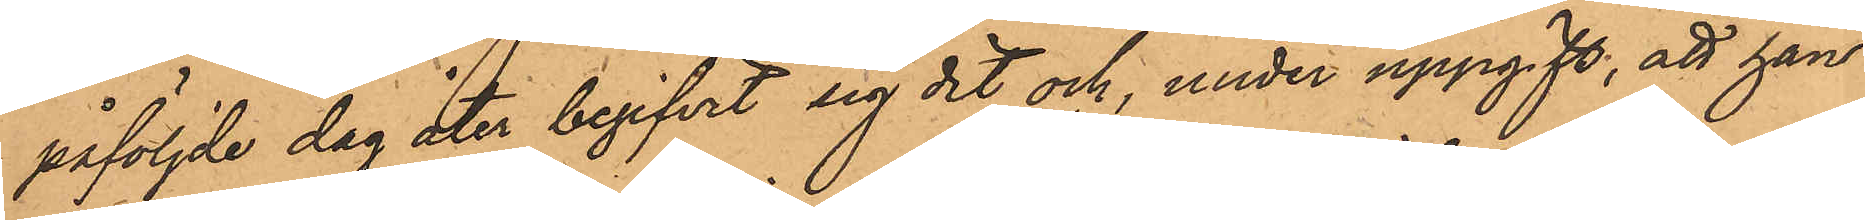påföljde dag åter begifvit sig dit och, under uppgift, att han
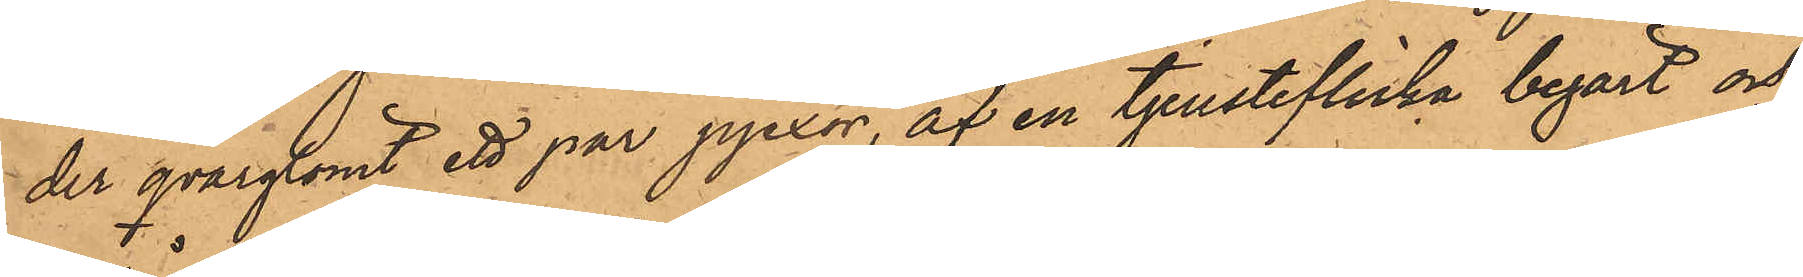der qvarglömt ett par pjexor, af en tjensteflicka begärt och
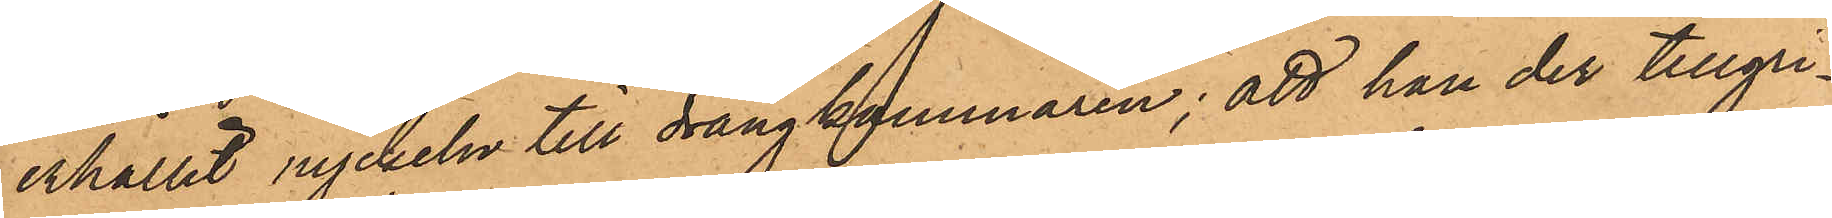erhållit nyckeln till drängkammaren; att han der tillgri¬
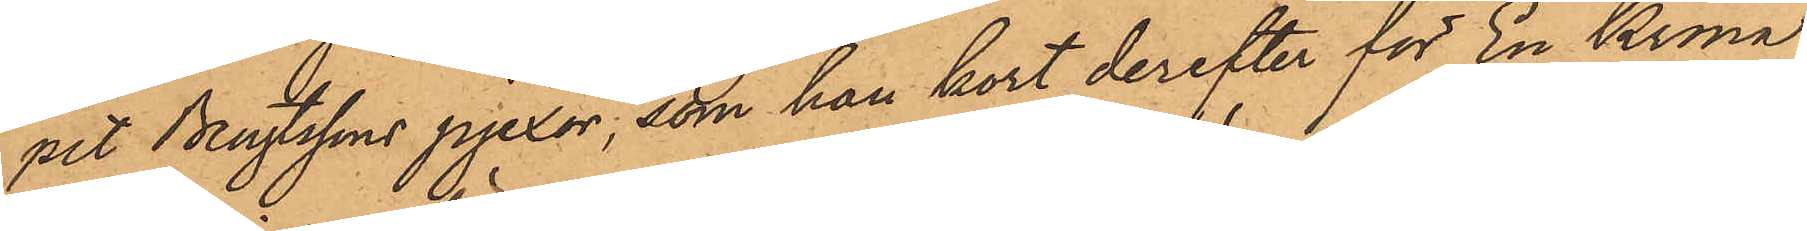pet Bengtssons pjexor, som han kort derefter för En Krona
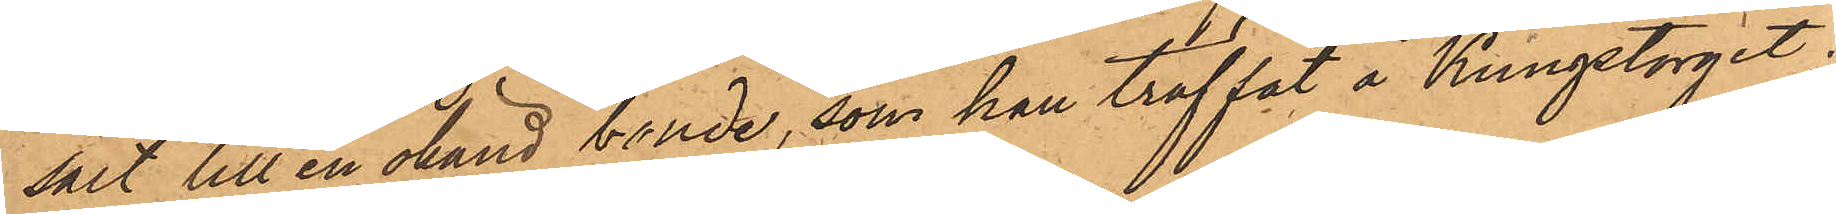sålt till en okänd bonde, som han träffat å Kungstorget;
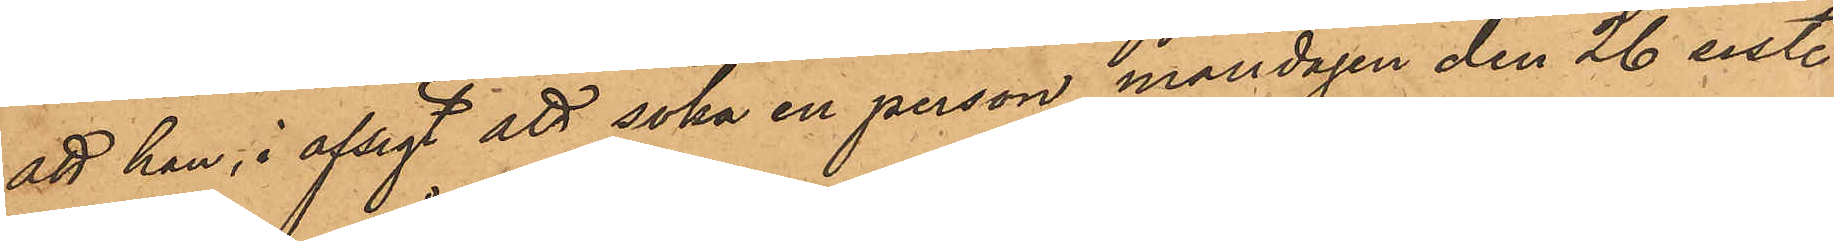att han i afsigt att söka en person måndagen den 26 sistl.
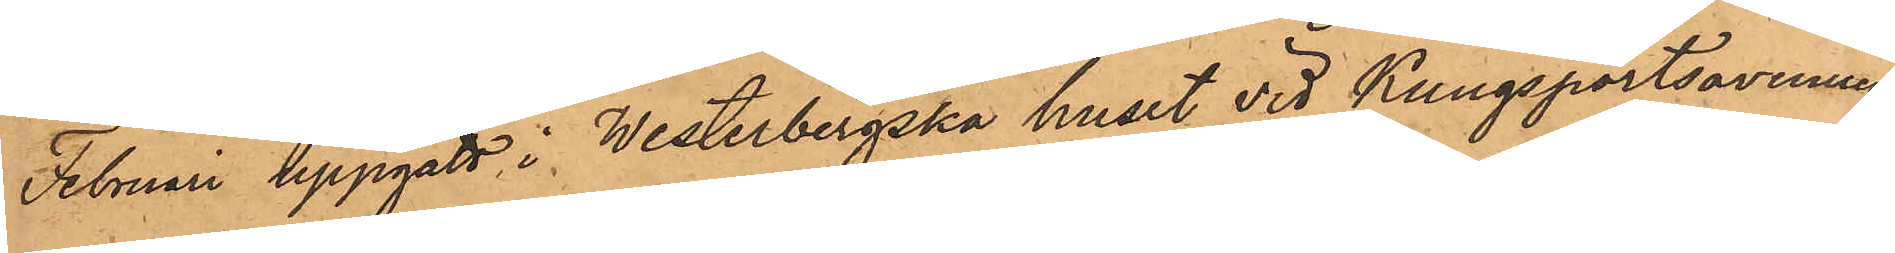Februari uppgått i Westerbergska huset vid Kungsportsavenuen
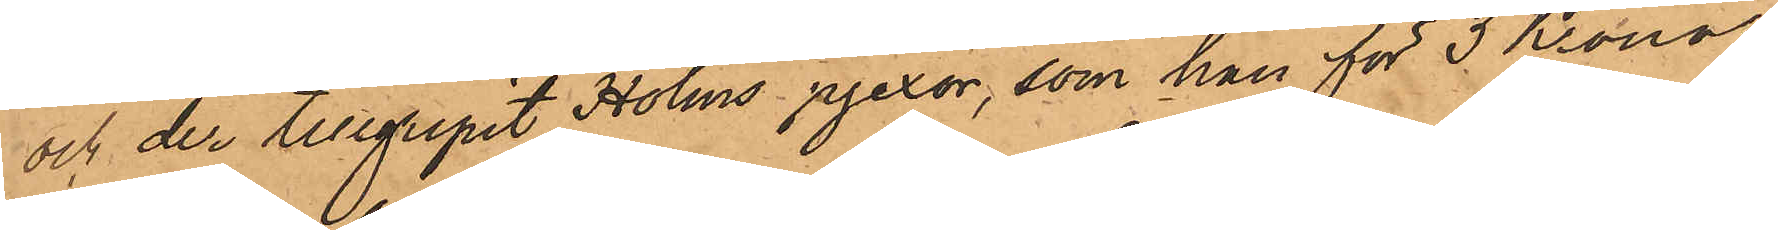och der tillgripit Holms pjexor, som han för 3 Kronor
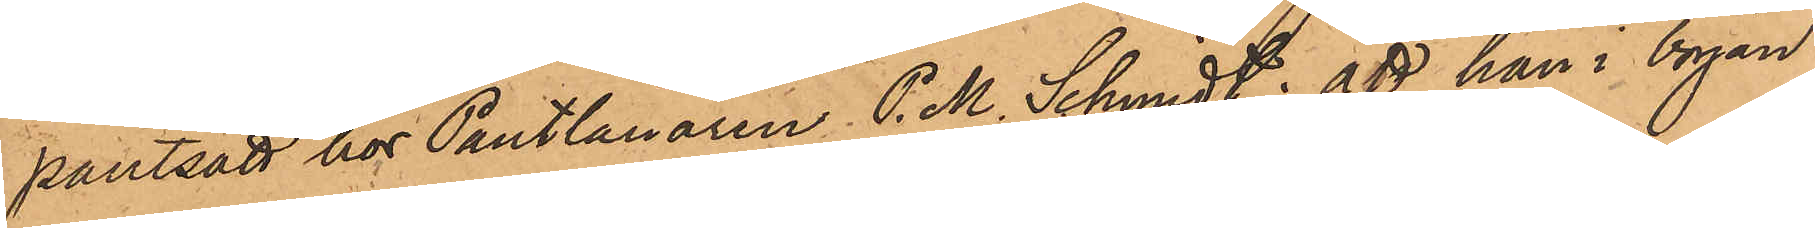pantsatt hos Pantlånaren P. M. Schmidt; att han i början
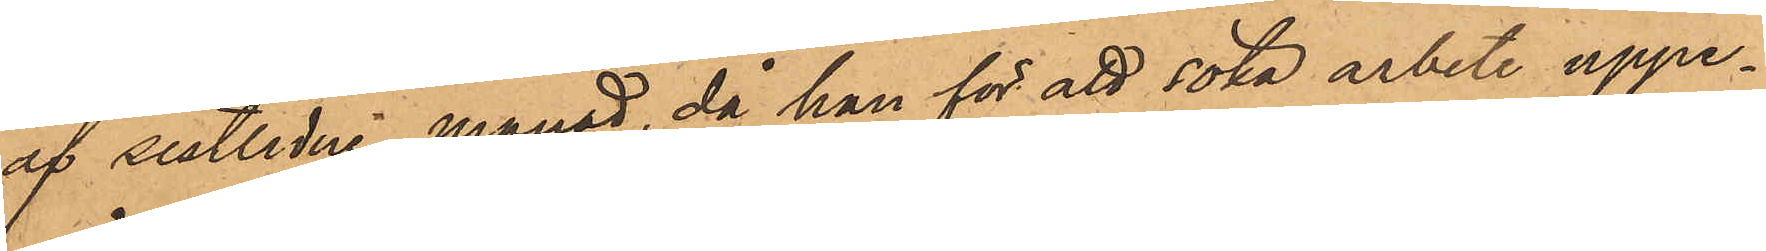af sistlidne månad, då han för att söka arbete uppe¬
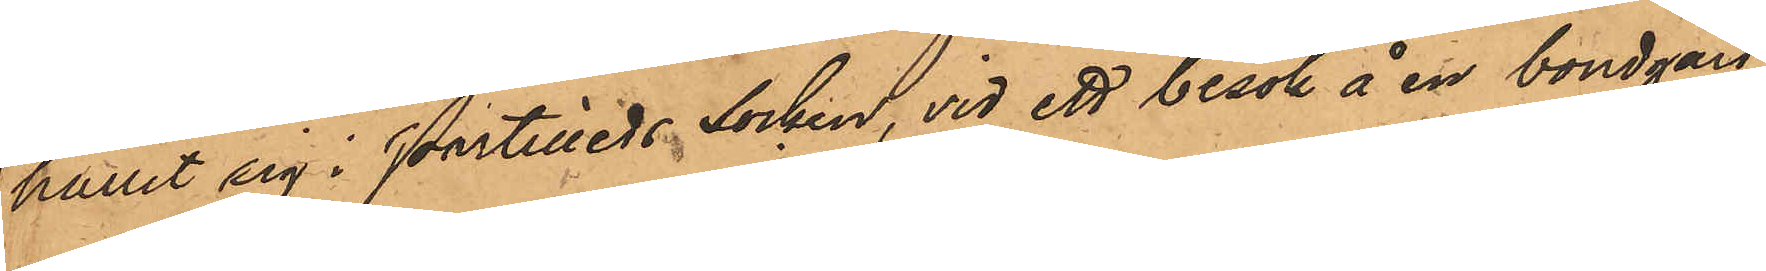hållit sig i Partilleds socken, vid ett besök å en bondgård
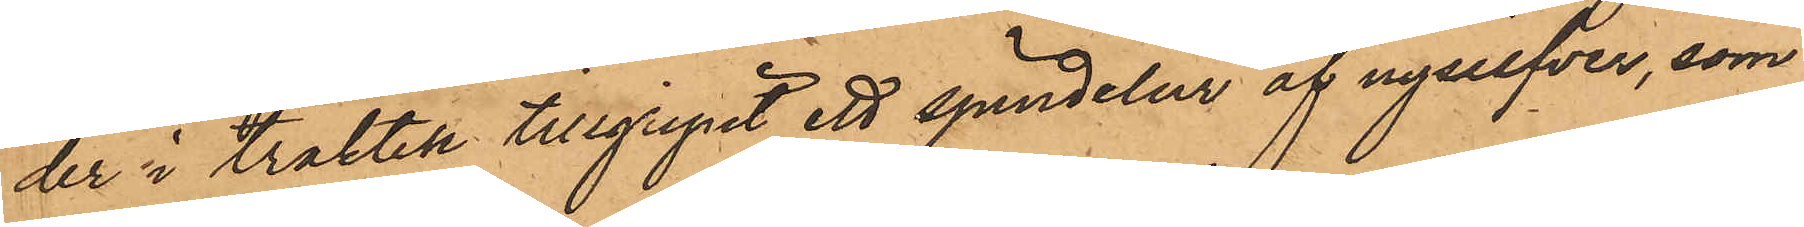der i trakten tillgripit ett spindelur af nysilfver, som
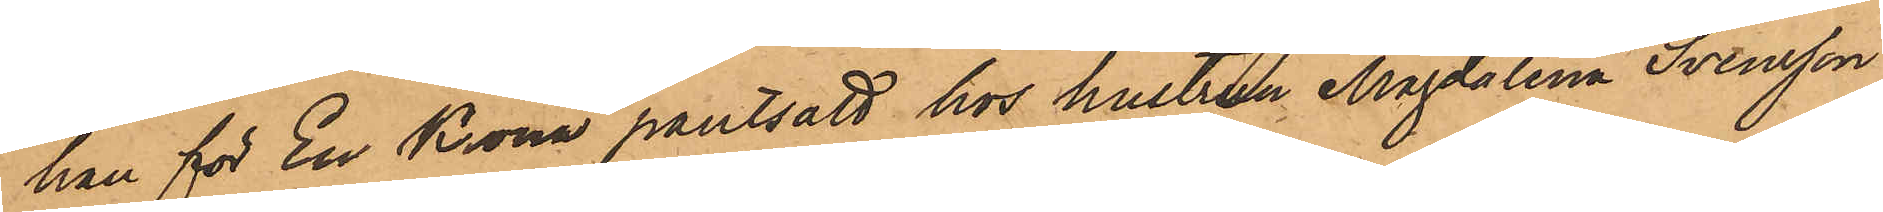han för En Krona pantsatt hos hustrun Magdalena Svensson
